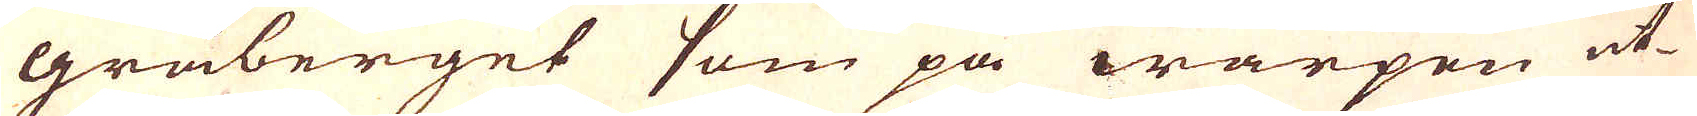gråberget som på warpen ut-
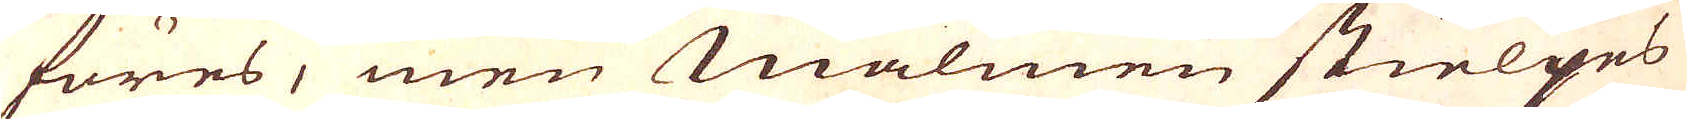föres, men Malmen stielpes
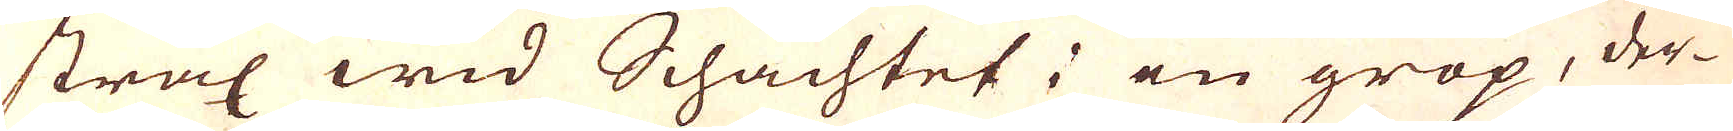strax wid Schachtet; en grop, der-
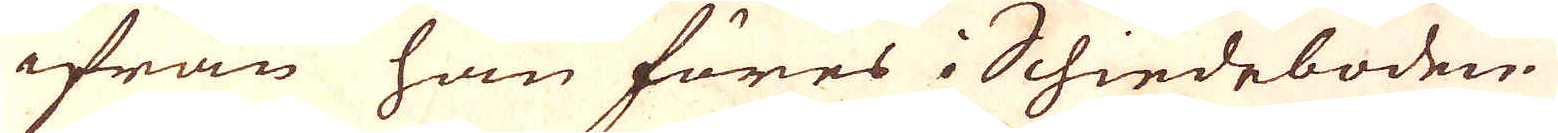ifrån han föres i Schiedeboden.
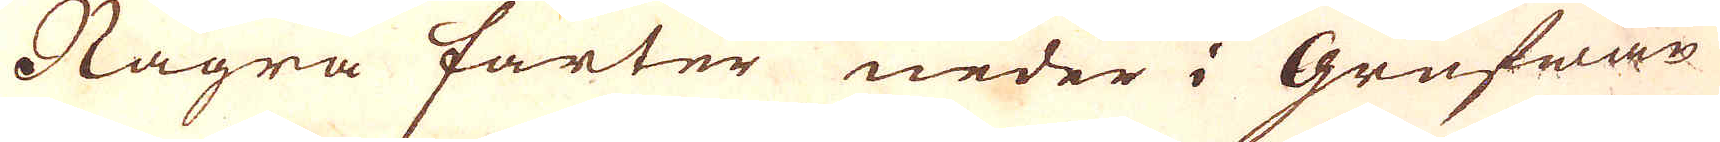Några farter neder i Grufwan
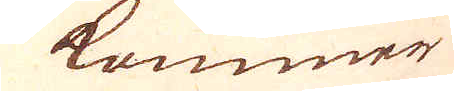kommer
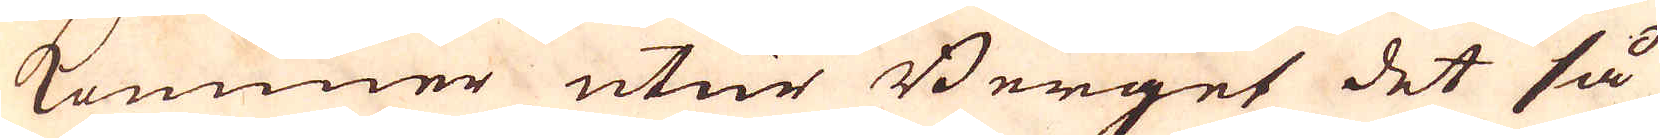kommer utur Berget det så
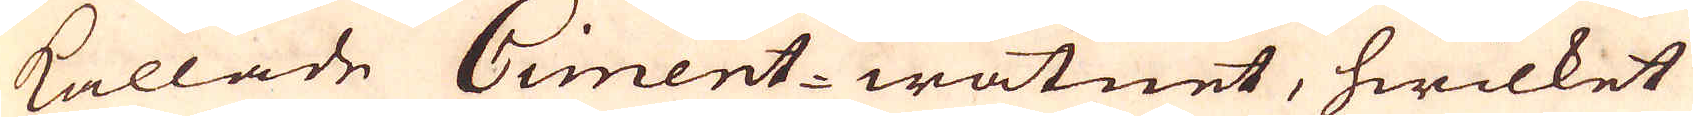kallade Ciment-watnet, hwilket
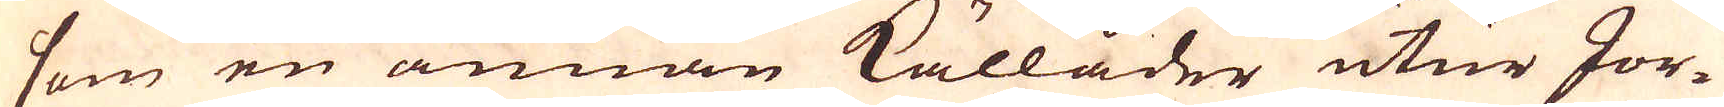som en annan källåder utur Jor-
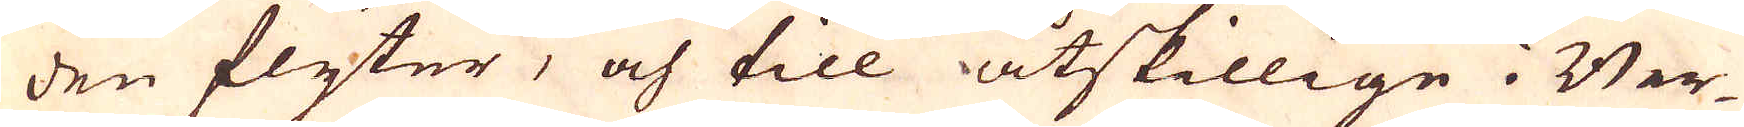den flyter, och till åtskillige i Ber-
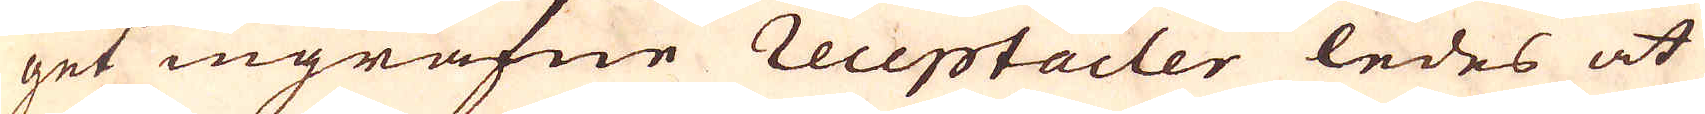get ingrafne receptacler ledes at
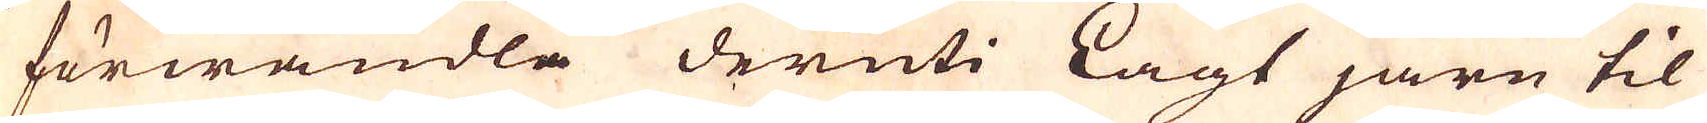förwandla deruti Lagt järn til
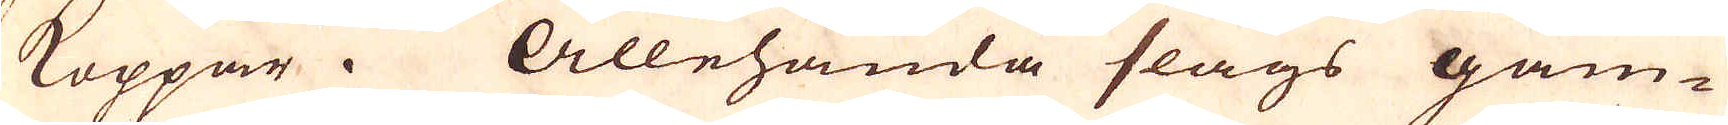Koppar. Allehanda slags gam-
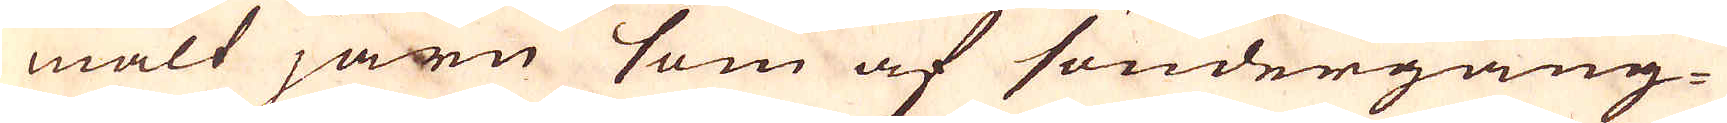malt järn som af söndergång-
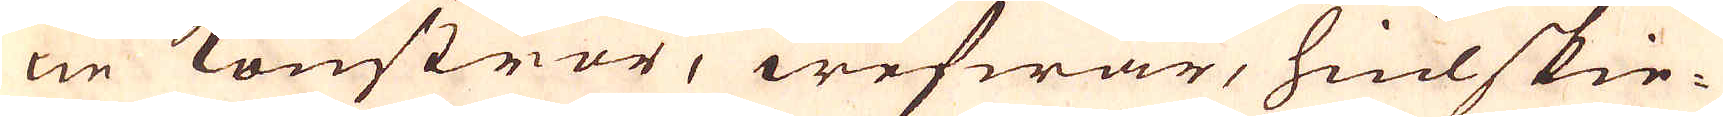ne konströr, wefwar, hiulskie-
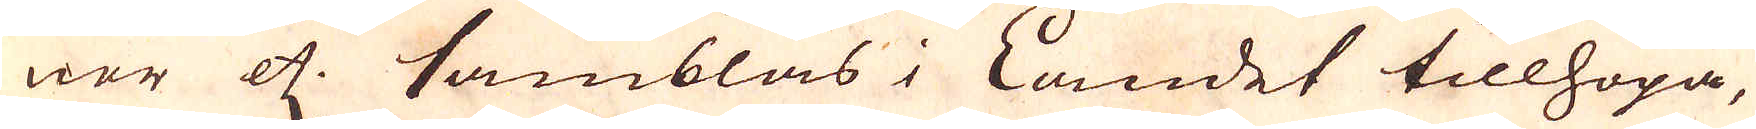nor etc. samblas i Landet tillhopa,
